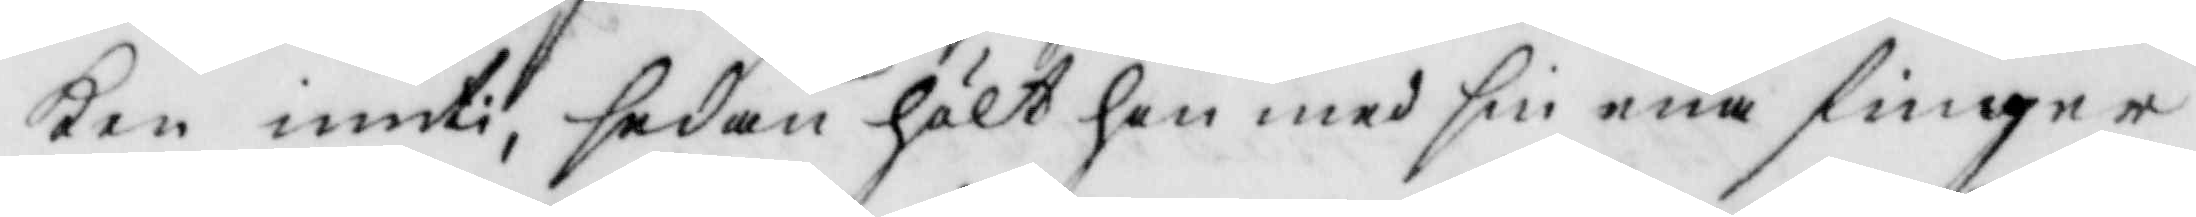ken innuti, sedan hölt hon med sin ena finger
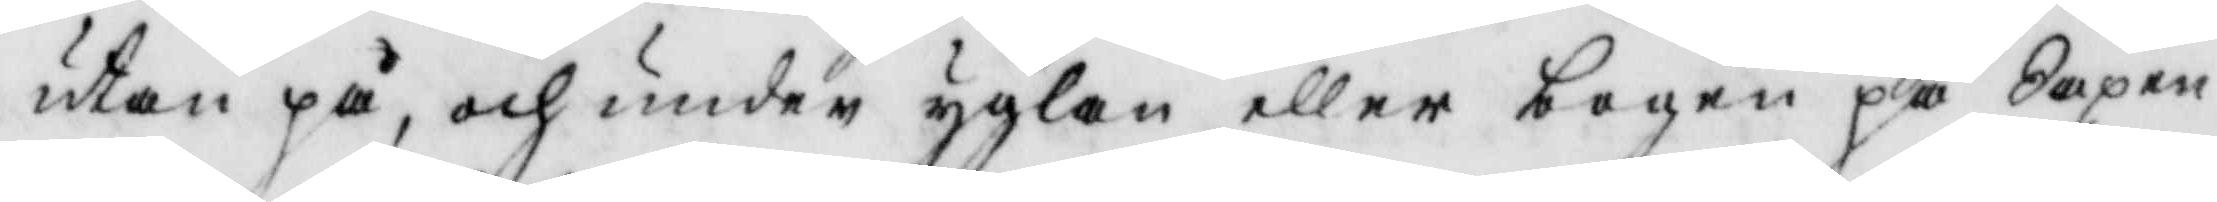utan på, och under yglan eller bogen på Saxen
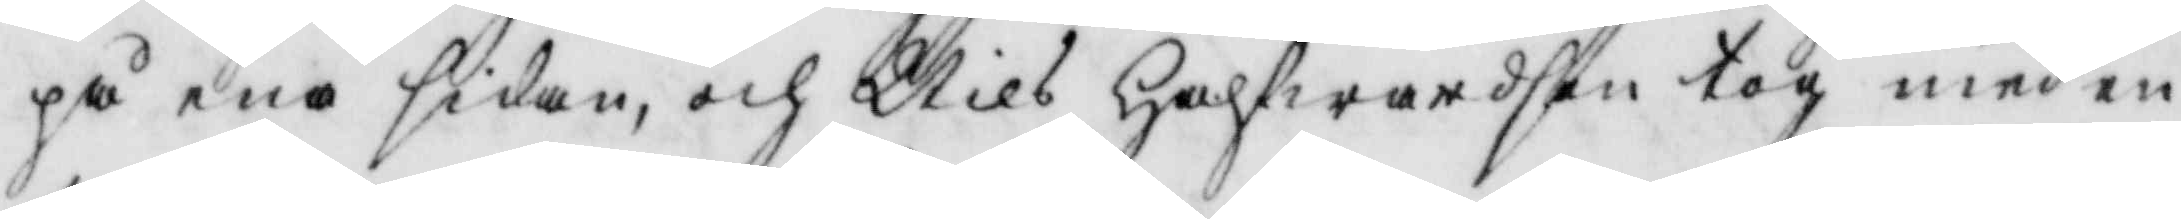på ena sidan, och Nils Halfwardson tog med en
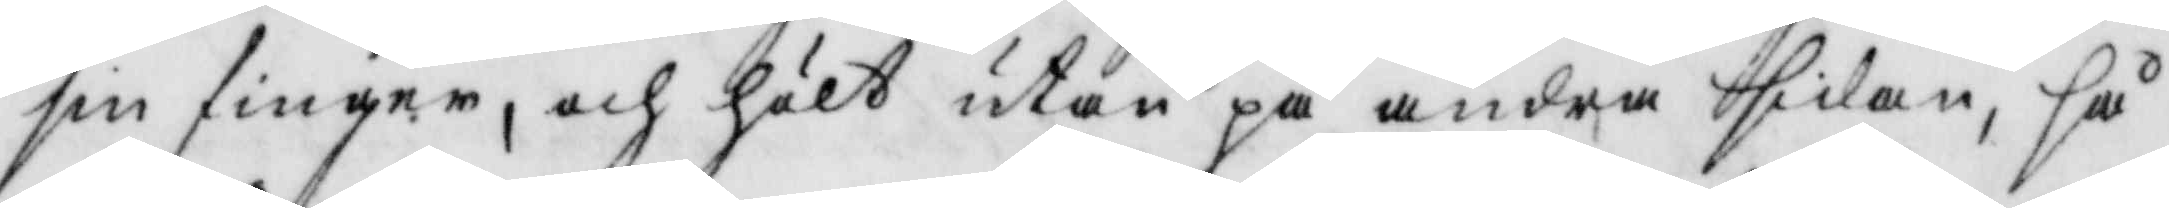sin finger, och hölt utan på andra sidan, så
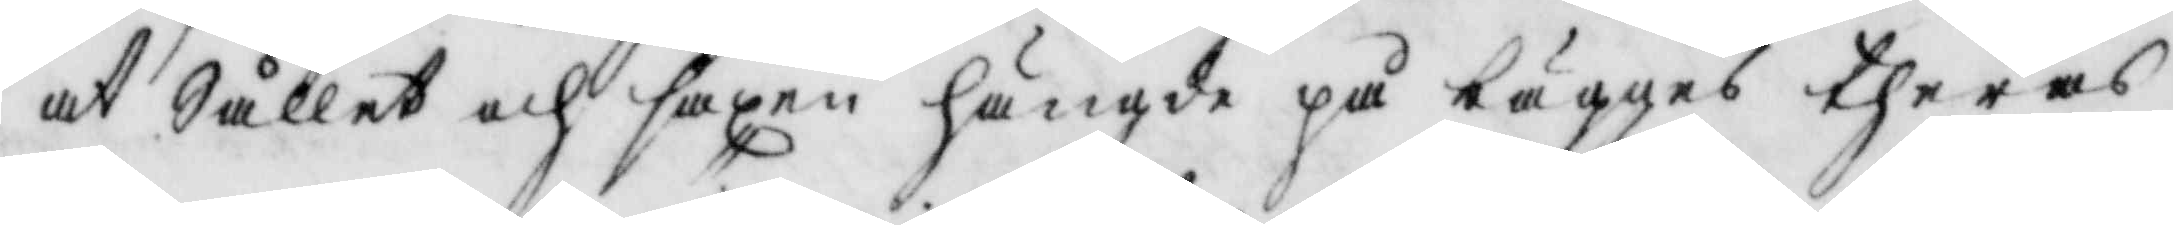at Sållet och saxen hängde på bägges theras
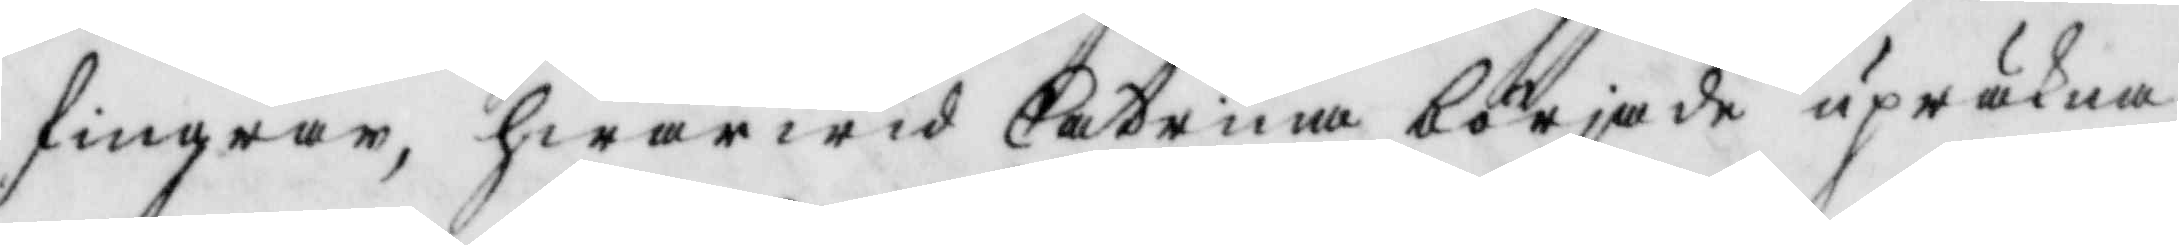fingrar, hwarwid Catrina började upräkna
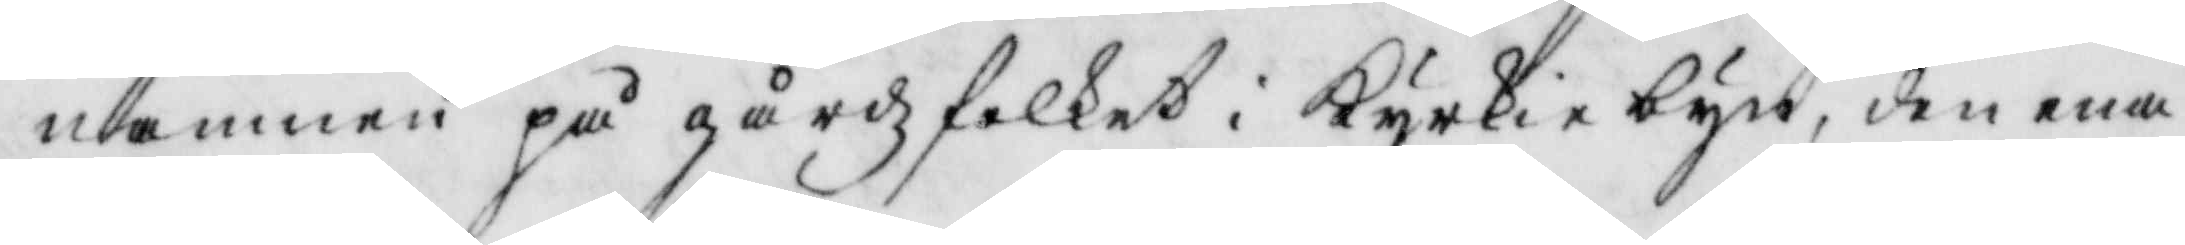namnen på gårdzfolket i Kyrkiebyn, den ena
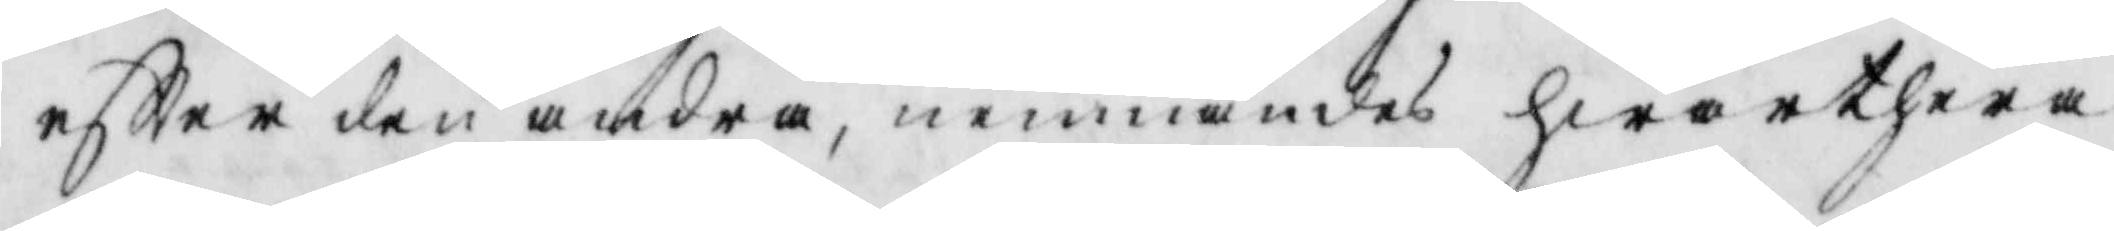eftter den andra, memnades hwarthera
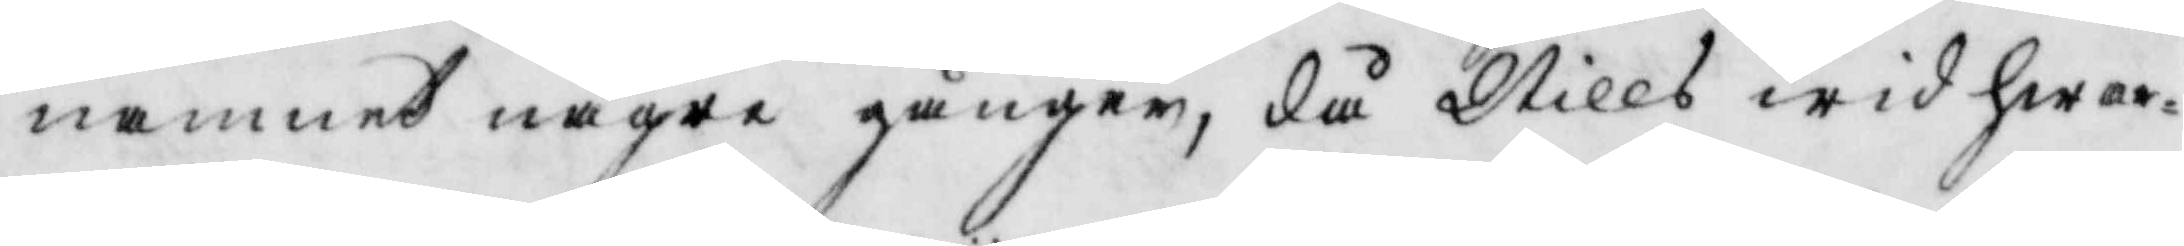namnet några gånger, då Nills wid hwar¬
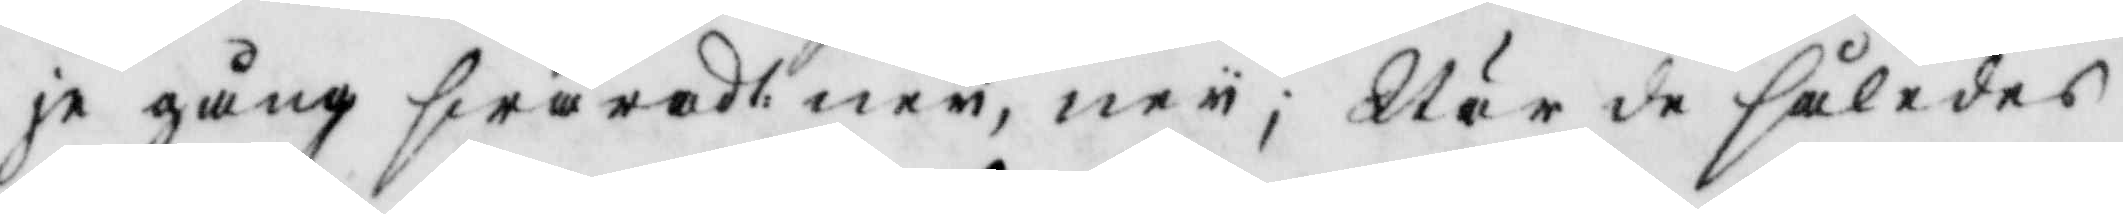je gång swarade ney, ney; När de således
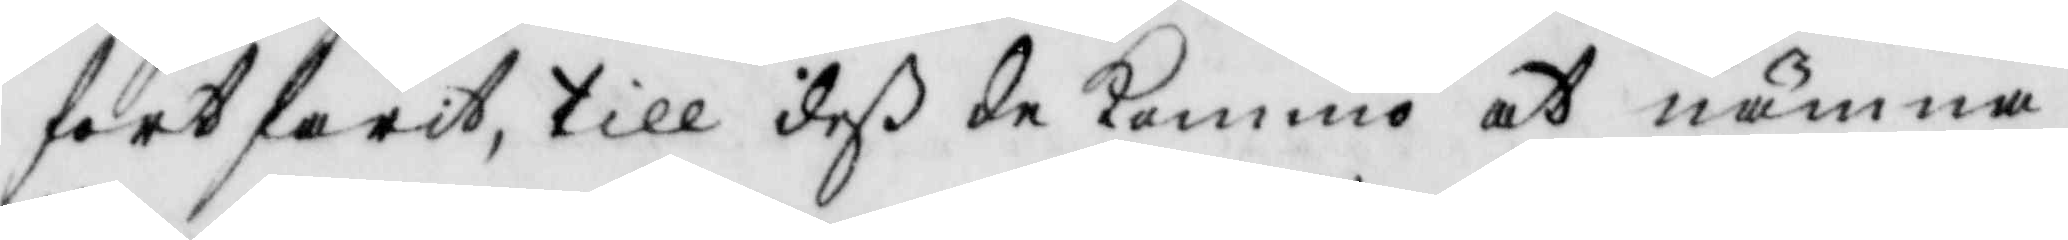fortfarit, till deß de kommo at nämna
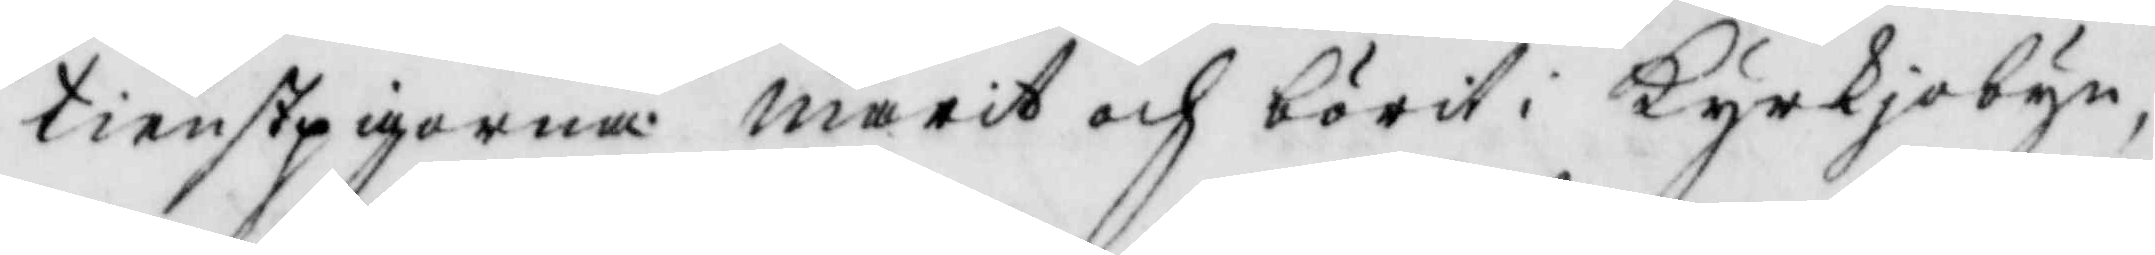tienstpigorna Marit och börit i Kyrkjobyn
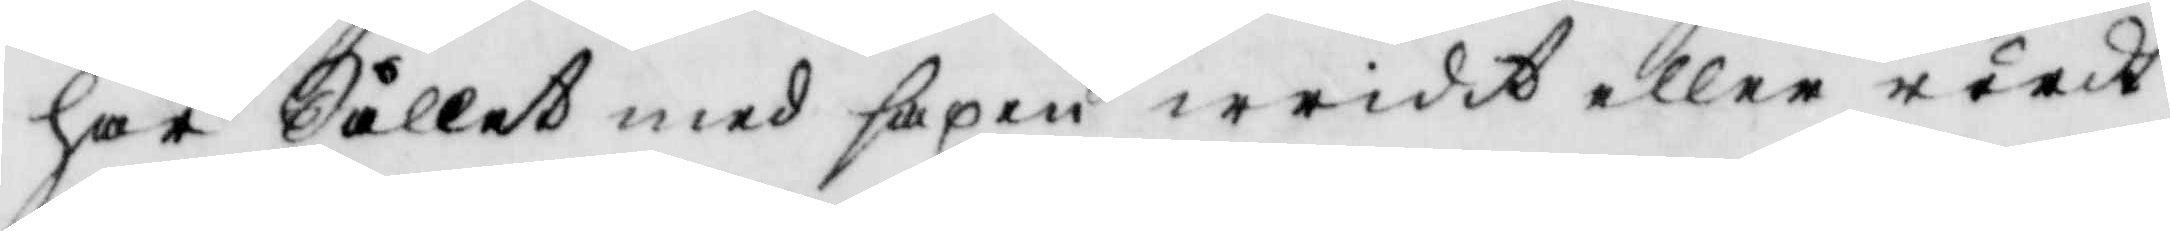har Sållet med saxen wridit eller rördt
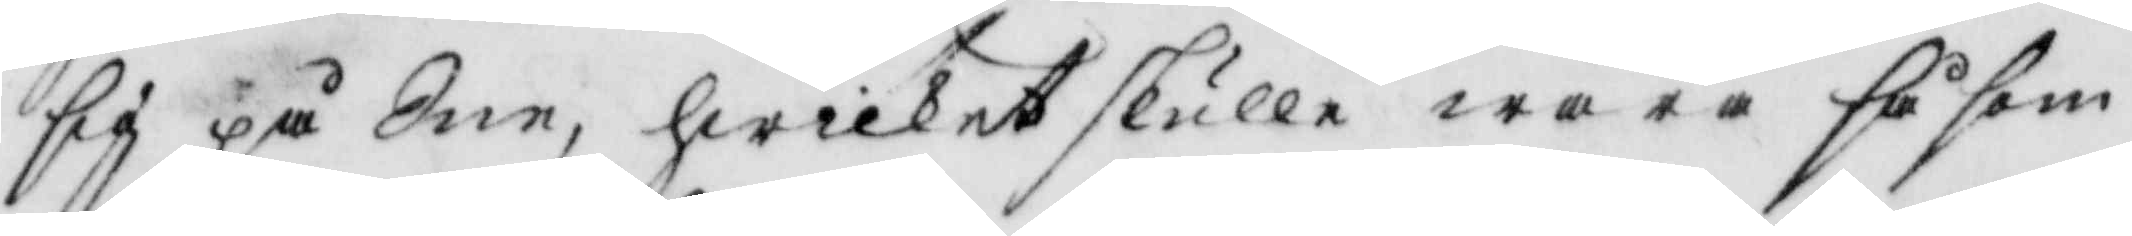sig på Sne, hwilket skulle wara såsom
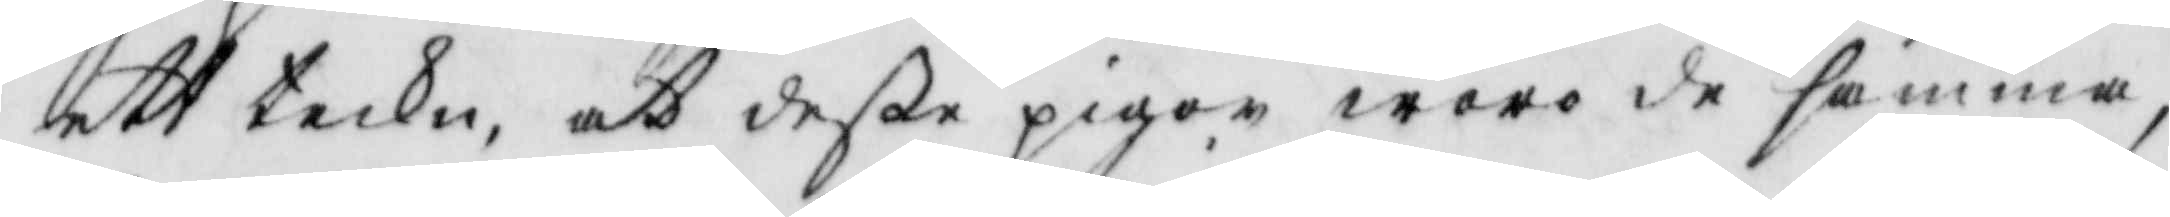ett tekn, at deße pigor woro de samma,
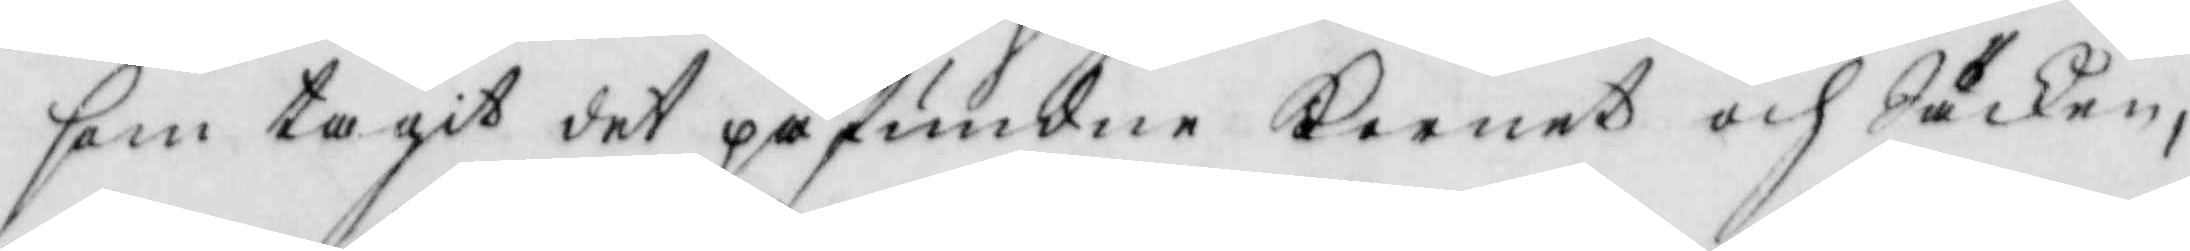som tagit det påfundne Kornet och Säken,
